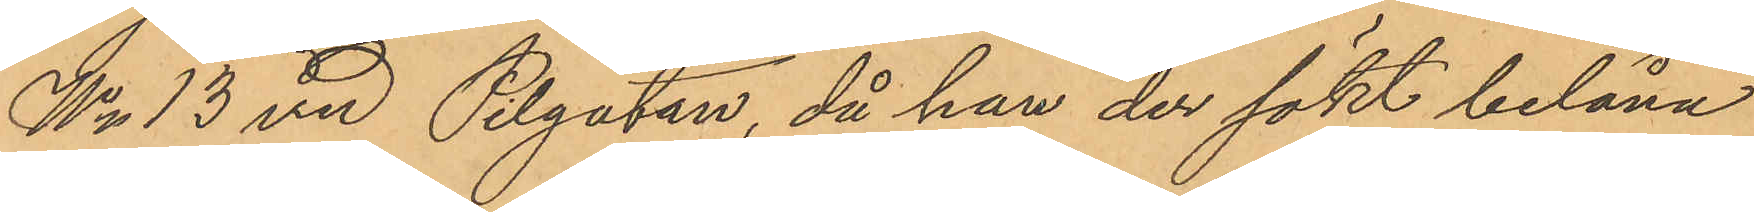No 13 vid Pilgatan, då han der sökt belåna
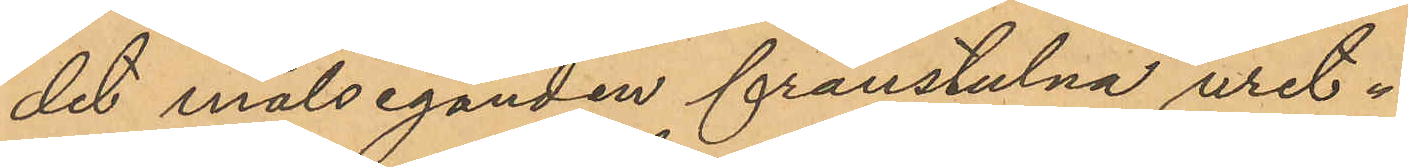det målseganden frånstulna uret.
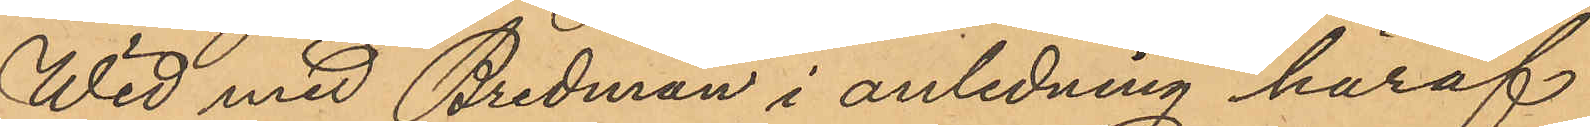Wid med Bredman i anledning häraf
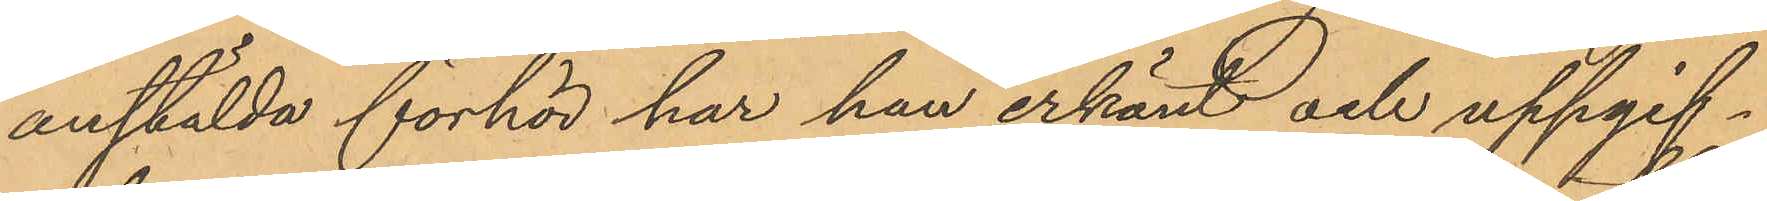anstälda förhör har han erkänt och uppgif¬
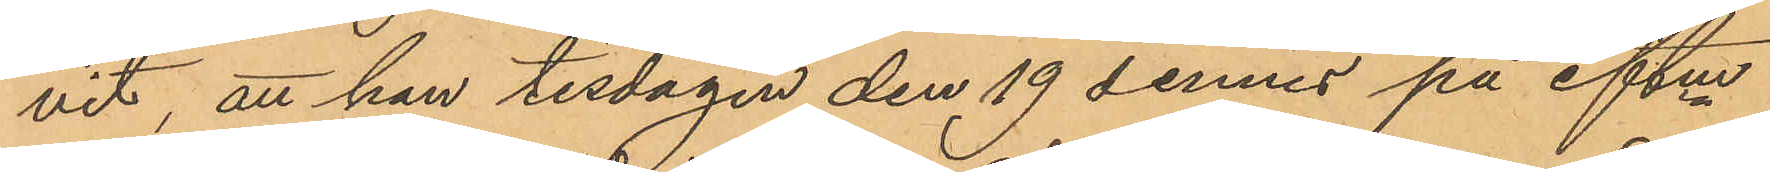vit, att han tisdagen den 19 dennes på eftm
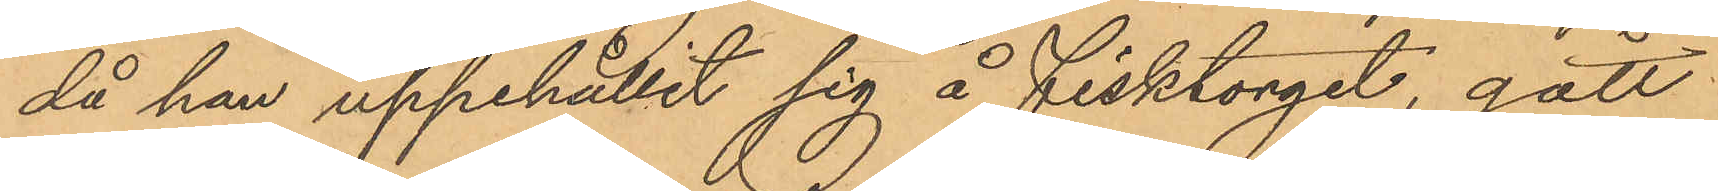då han uppehållit sig å Fisktorget, gått
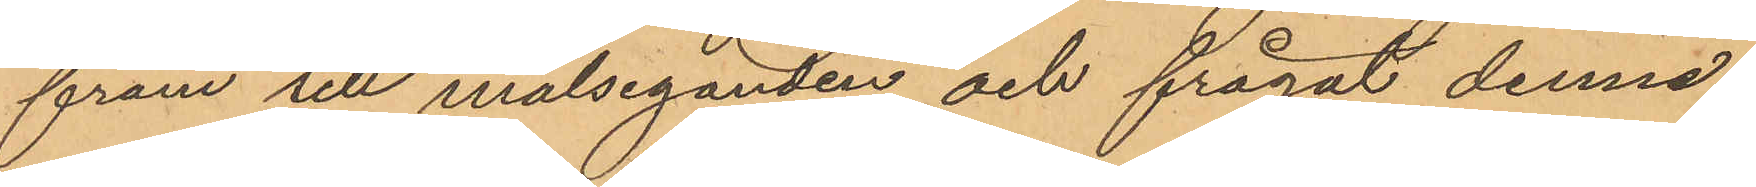fram till målseganden och frågat denne
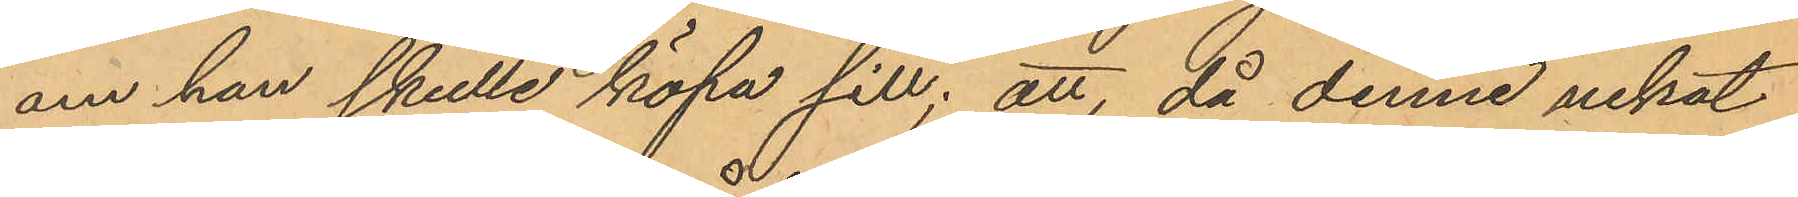om han skulle köpa sill; att, då denne nekat
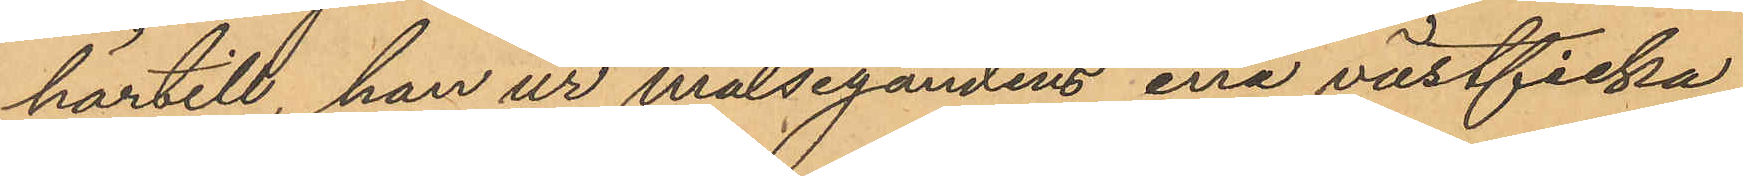härtill, han ur målsegandens ena västficka
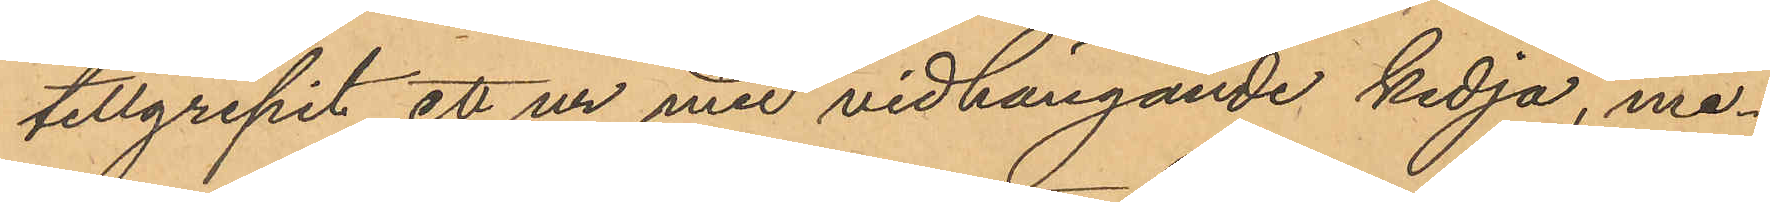tillgripit ett ur med vidhängande kedja, me¬
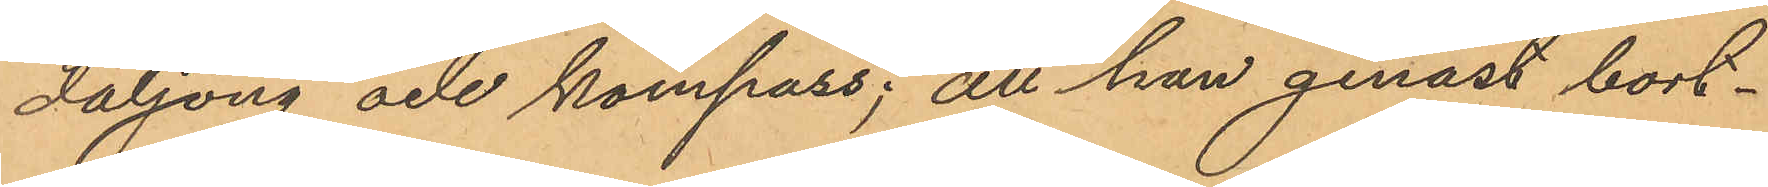daljong och kompass; att han genast bort¬
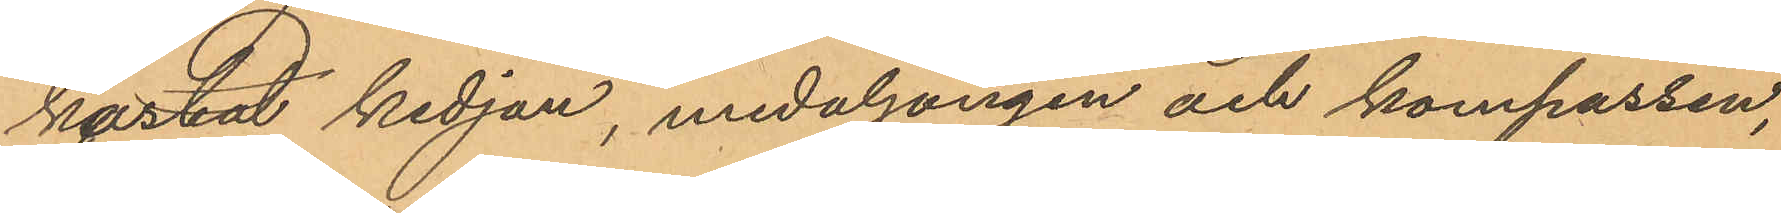kastat kedjan, medaljongen och kompassen,
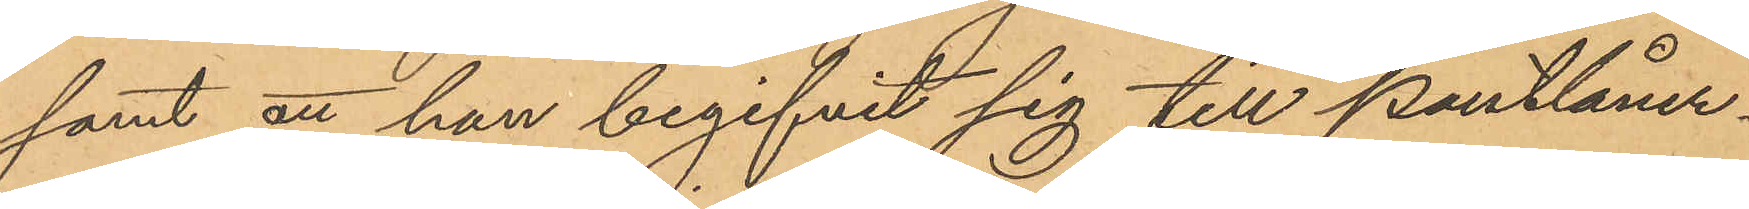samt att han begifvit sig till Pantlåner¬
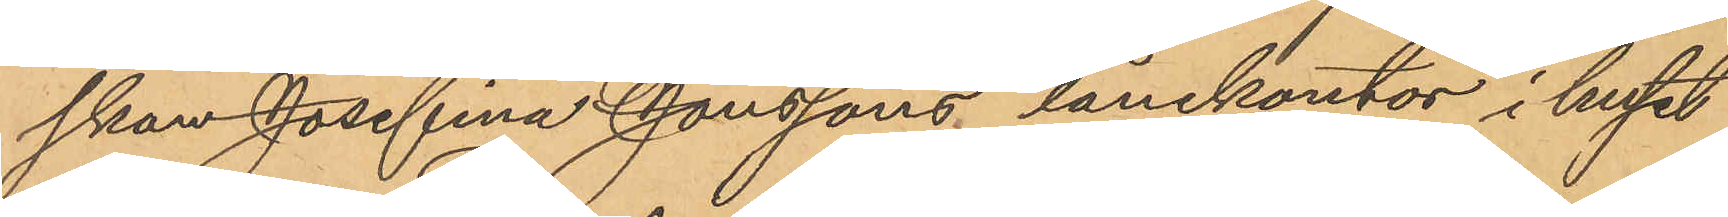skan Josefina Jonssons lånekontor i huset
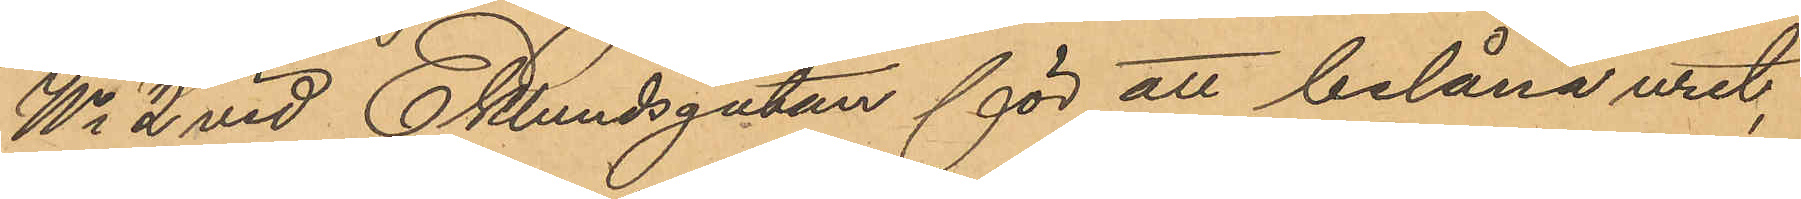No 2 vid Eklundsgatan för att belåna uret,
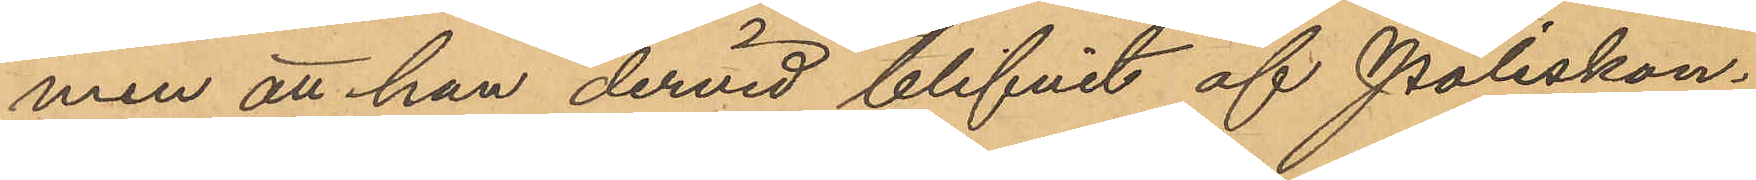men att han dervid blifvit af Poliskon¬
